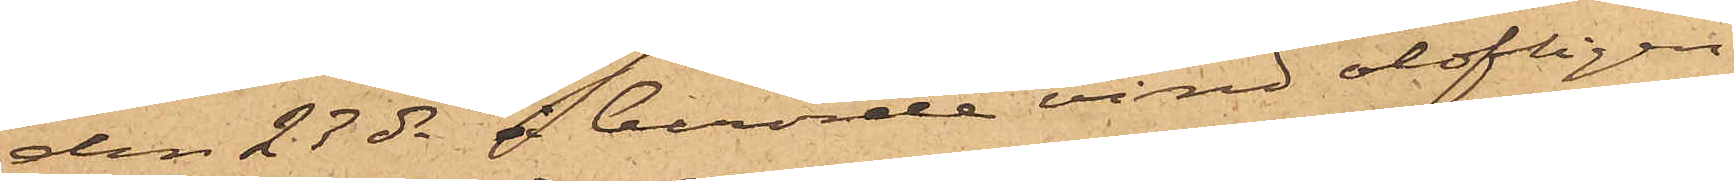den 27 ds å berörde vind olofligen
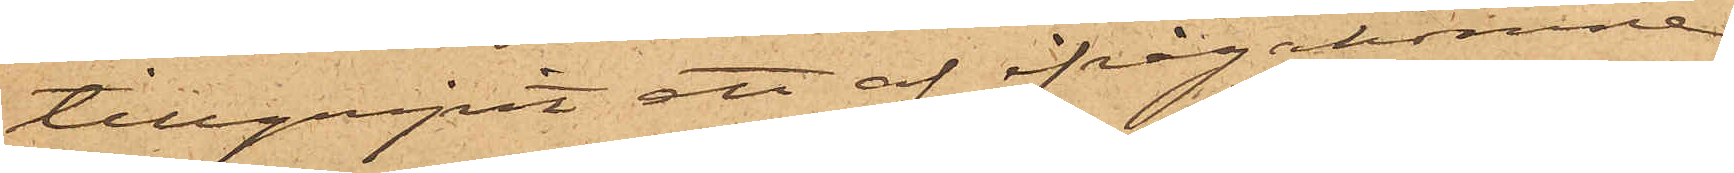tillgripit ett af ifrågakomne
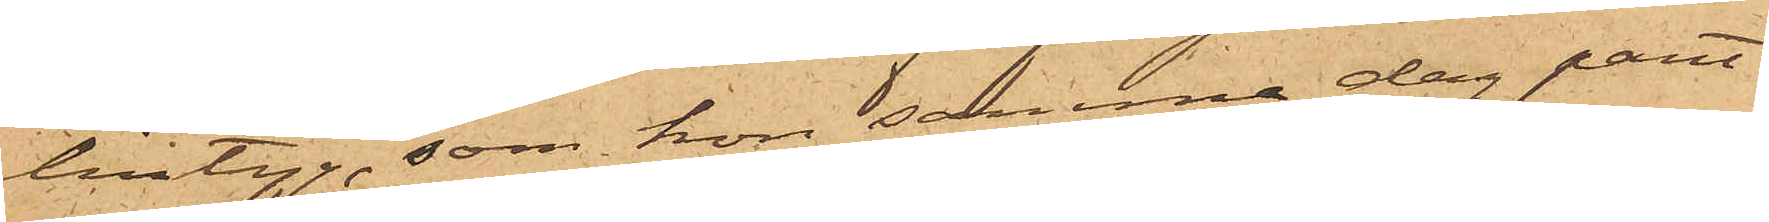lintyg, som hon samma dag pant¬
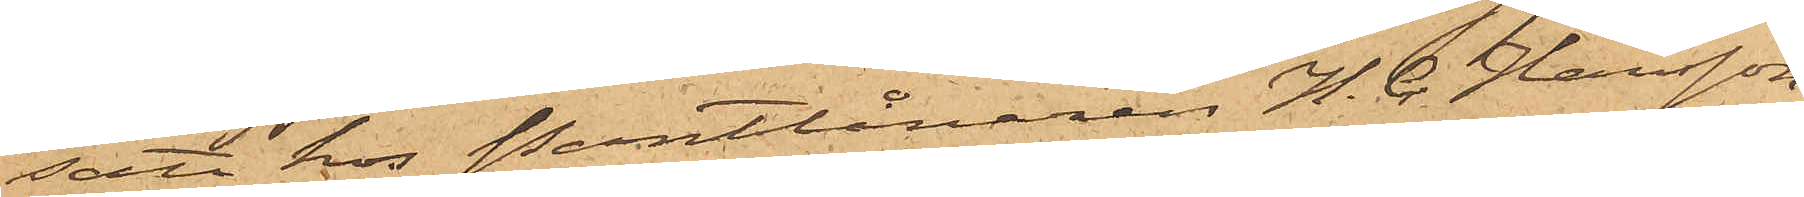satt hos Pantlånaren H. C. Hansson
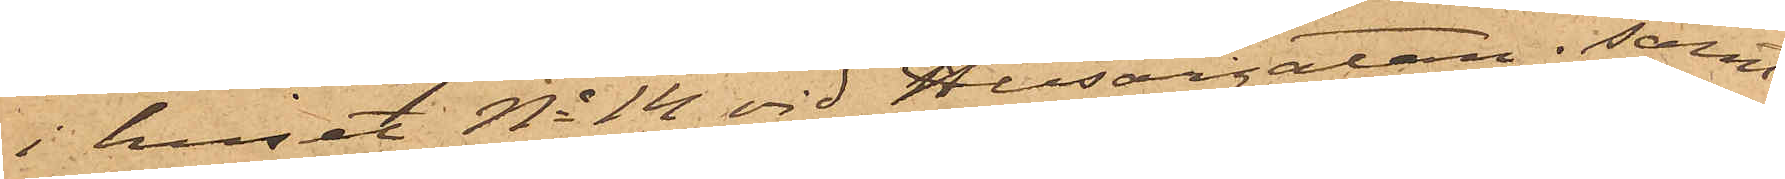i huset No 14 vid Husargatan; samt
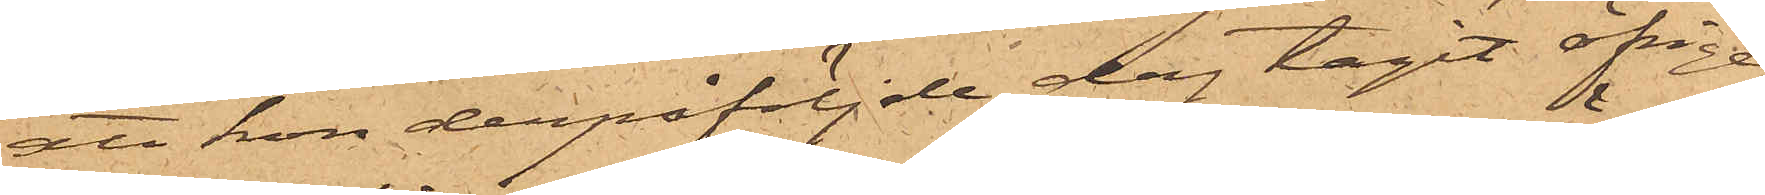att hon derpåföljde dag tagit öfrige
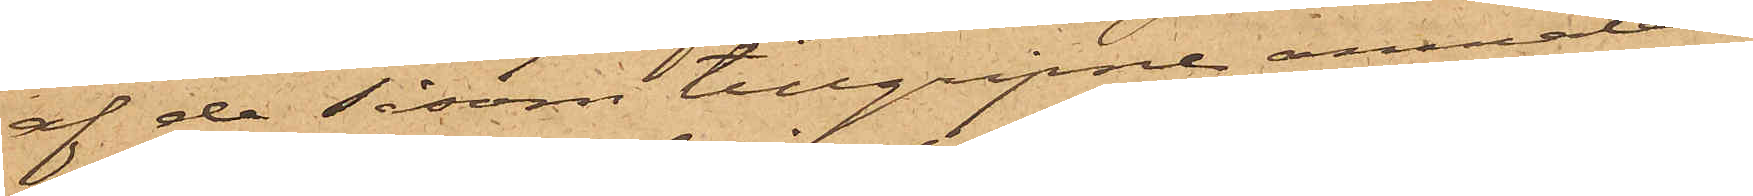af de såsom tillgripne anmälde
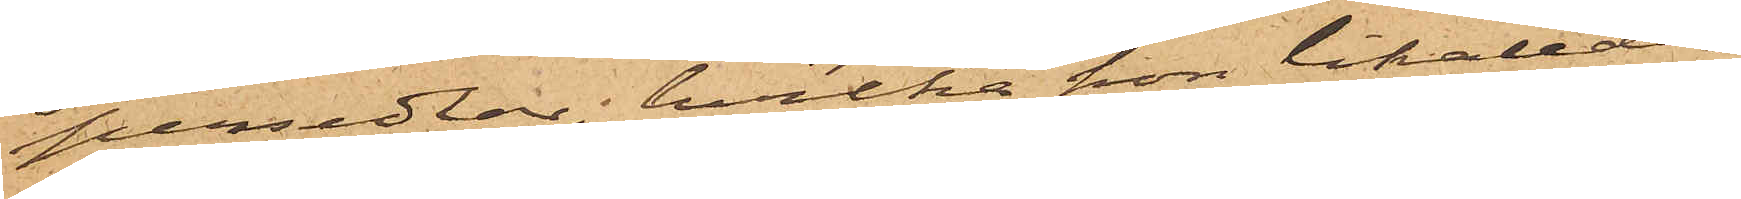persedlar, hvilka hon likaledes
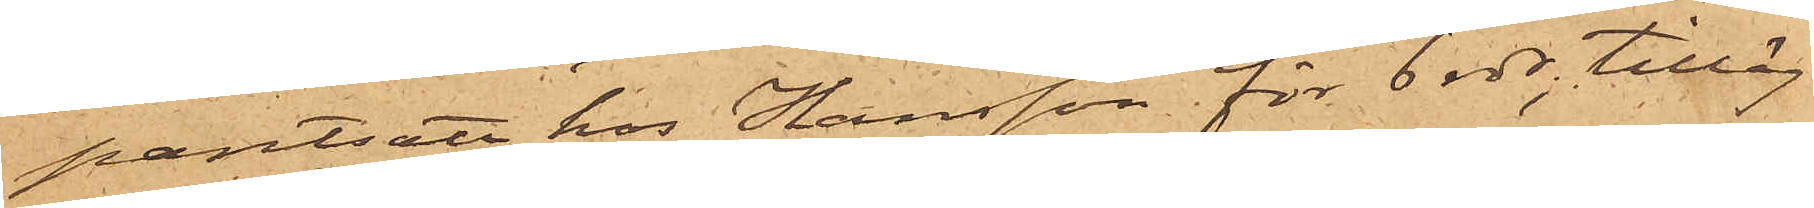pantsatt hos Hansson för 6 rdr, tilläg¬
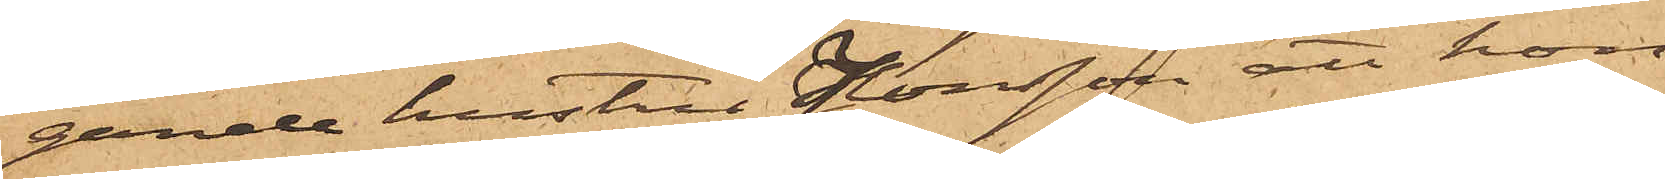gande hustru Jonsson att hon
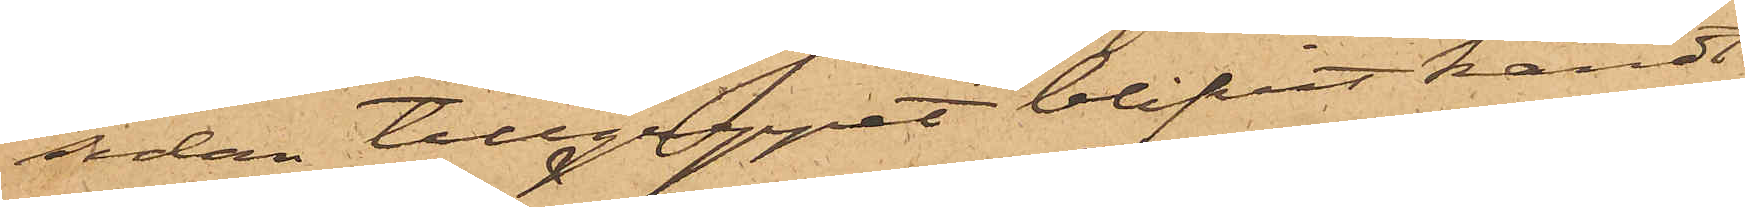sedan tillgreppet blifvit kändt
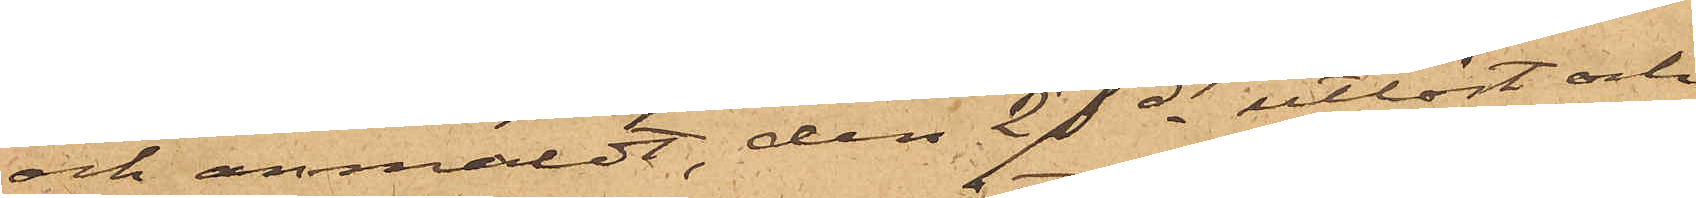och anmäldt, den 27 ds utlöst och
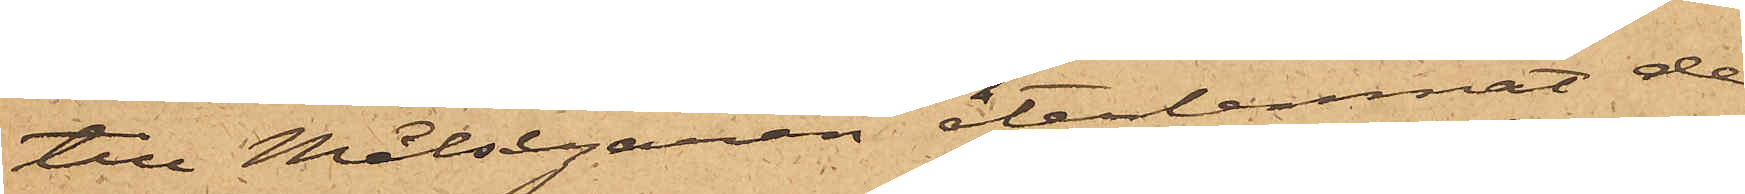till Målsegaren återlemnat de
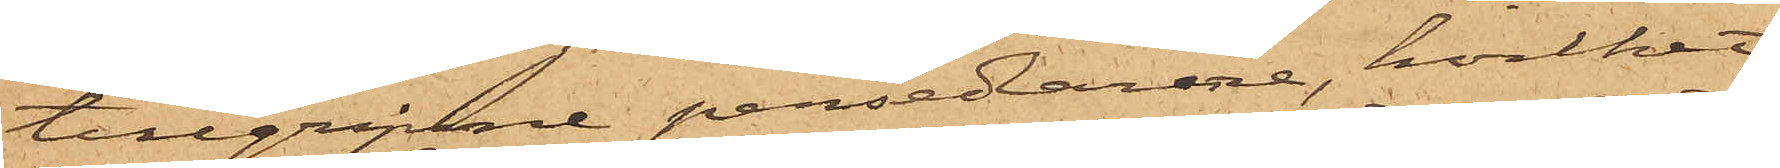tillgripne persedlarne, hvilket
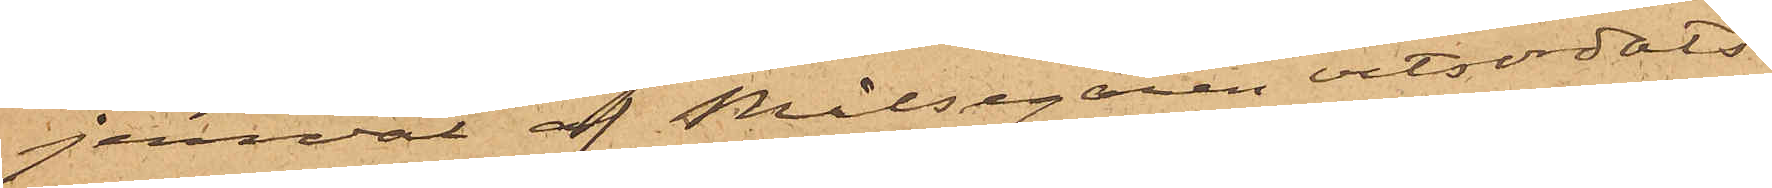jemväl af Målsegaren vitsordats.
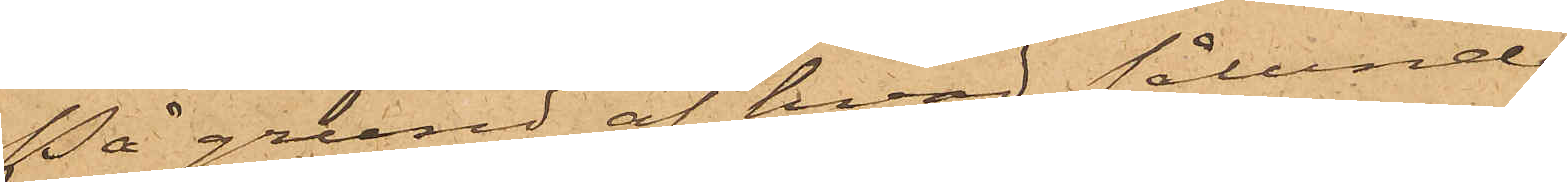På grund af hvad sålunda
